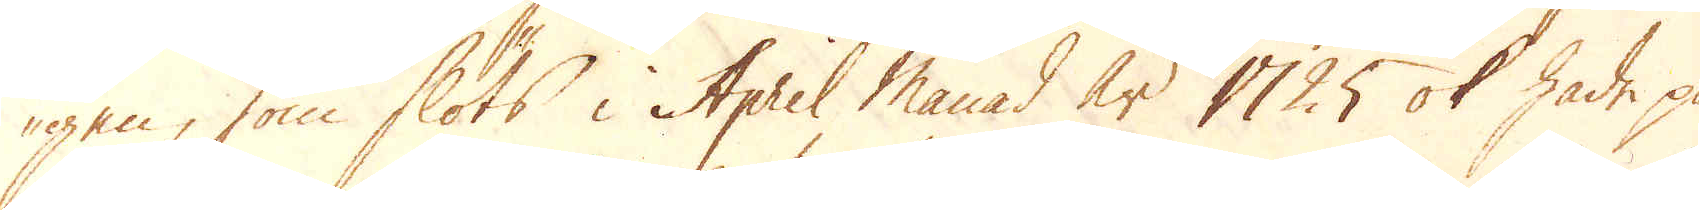gen, som slöts i April Månad år 1725 ok hade på-
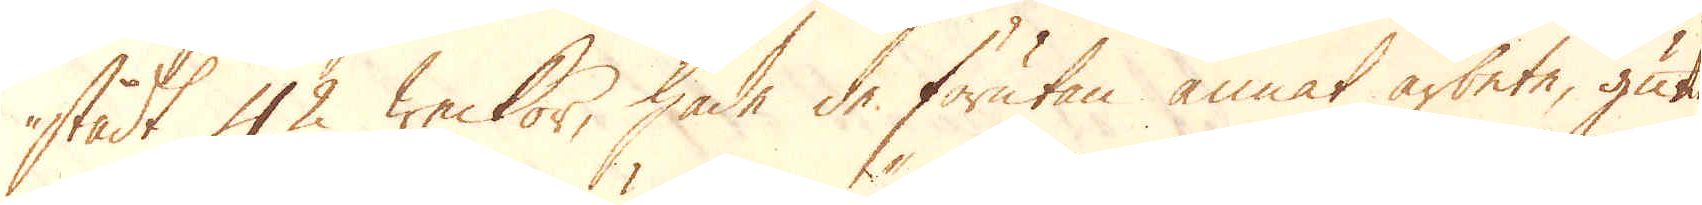stådt 42 weckor, hade de förutan annat arbete, gutit
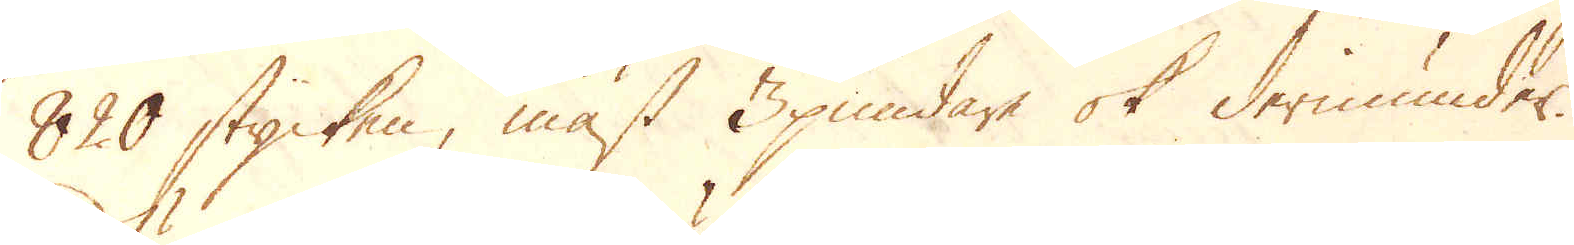820 stycken, mäst 3pundare ok derinunder.
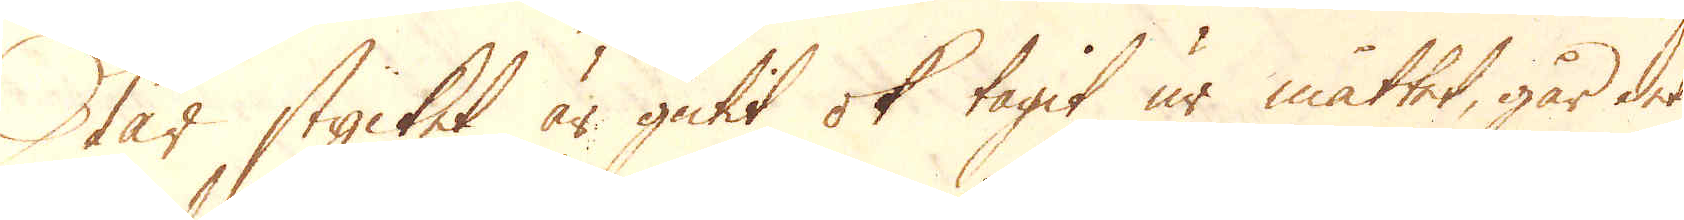När stycket är gutit ok tagit ur måttet, går det
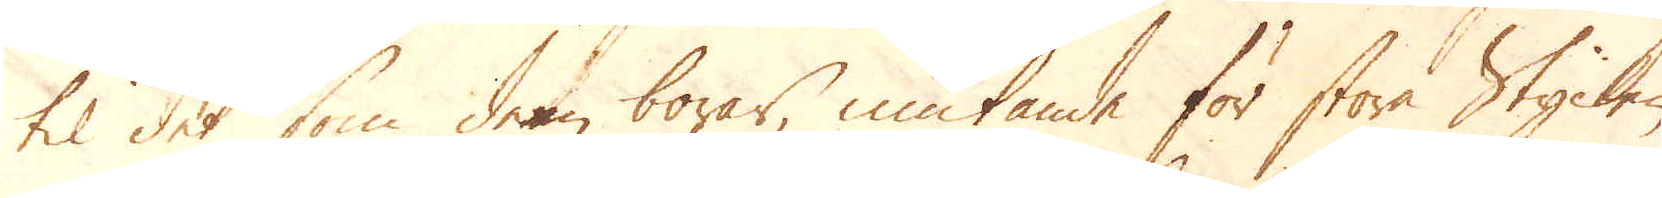til det som dem borar, niutande för stora Stycken
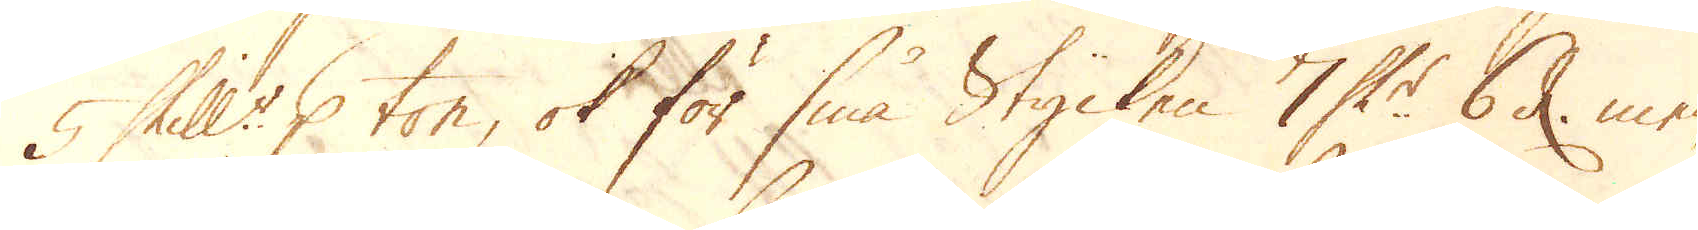5 Skill:r p ton, ok för små Stycken 7 Sk:r 6 d men
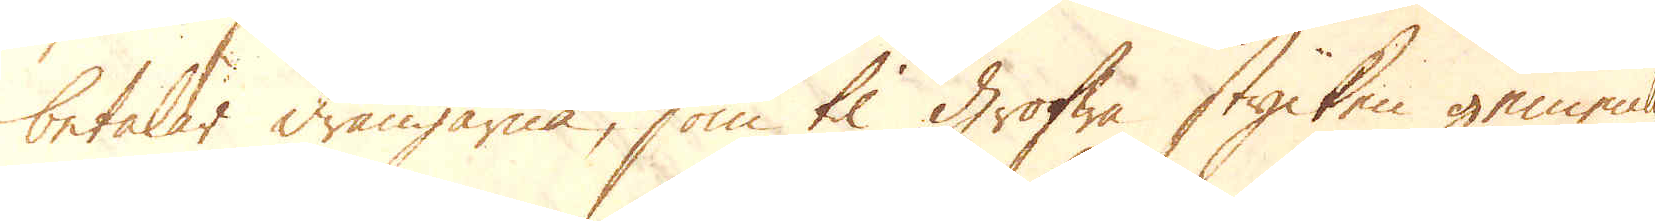betalar drängarna, som til grofwa stycken gemenli-
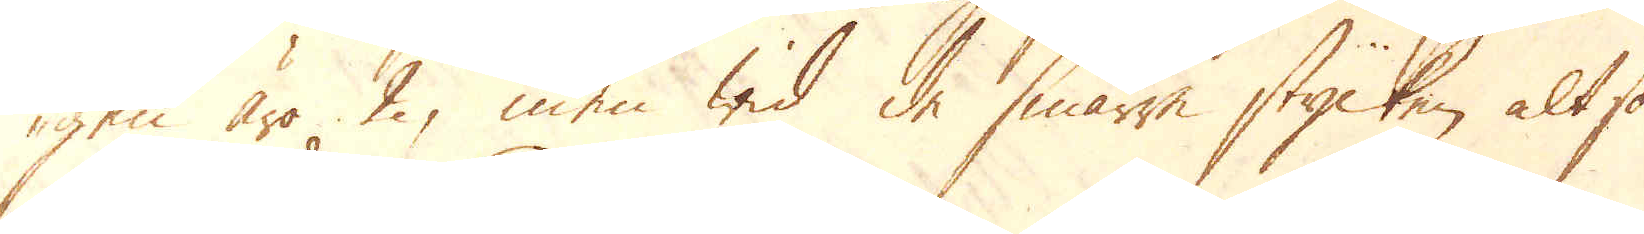gen äro 2, men wid de smärre stycken altsom-
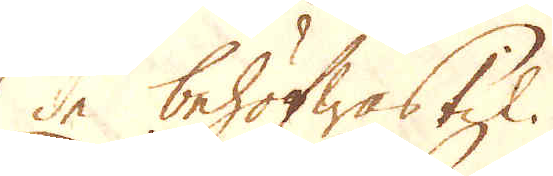de behöfwas til.
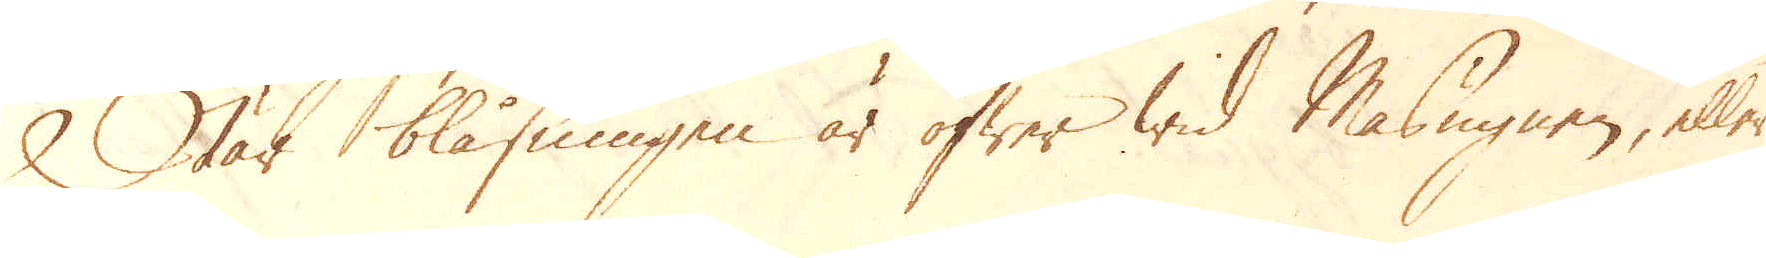När blåsningen är öfwer wid Masugnen, eller
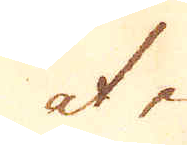at en
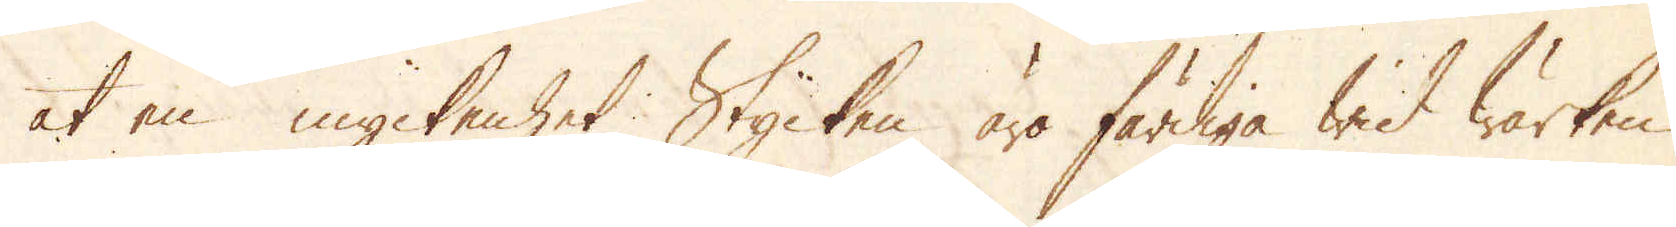at en myckenhet Stycken äro färdiga wid wärken
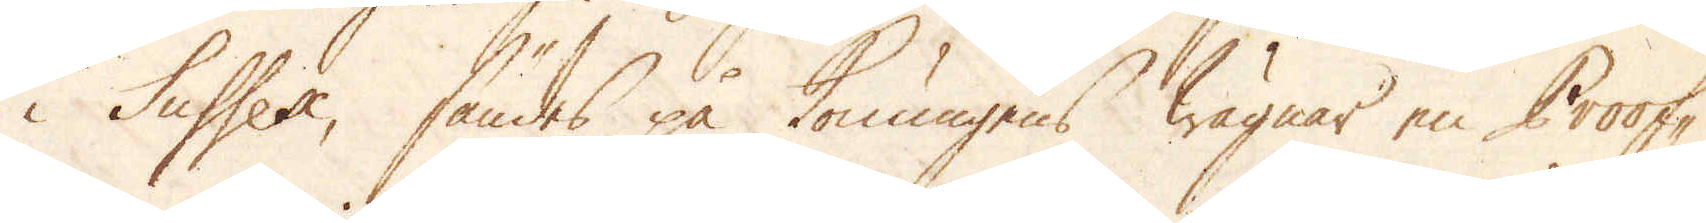i Sussex, sändes på konungens wägnar en Proof-
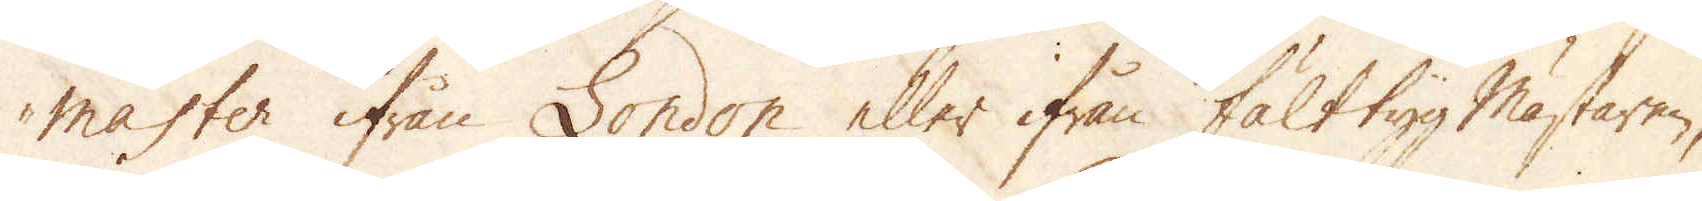master ifrån London eller ifrån Fälttyg mästaren,
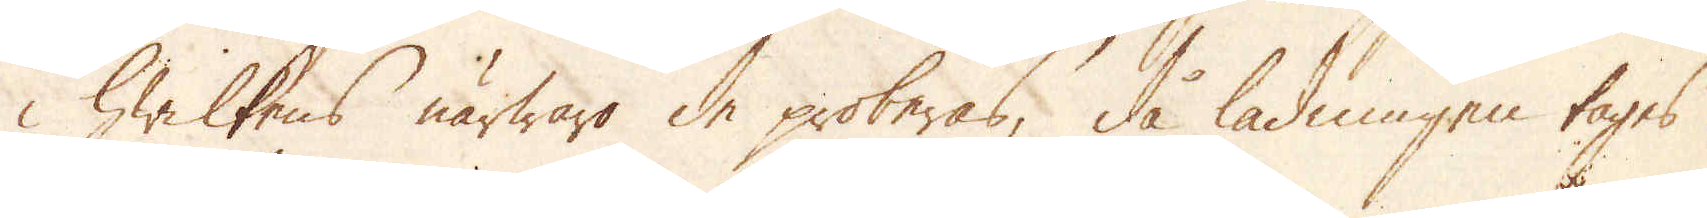i hwilkens närwaro de proberas, då ladningen tagas
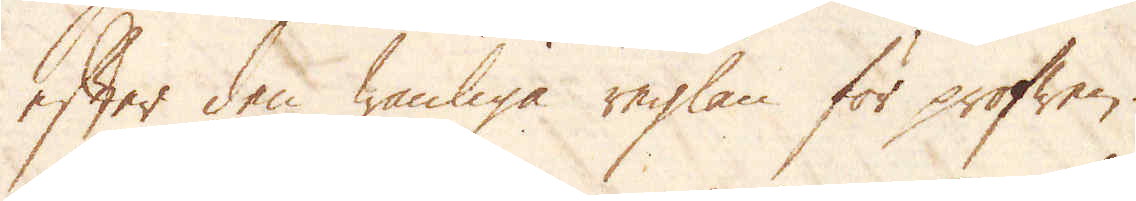efter den wanliga reglan för profwen.
